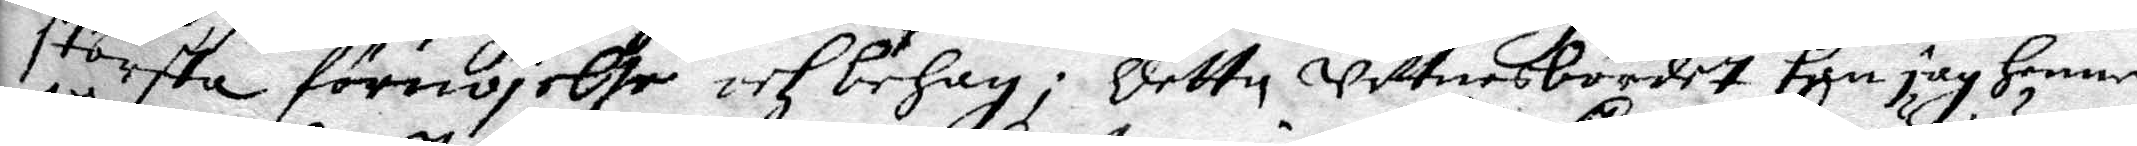största förnöjelse och behag; detta wittnesbördet kan jag henne
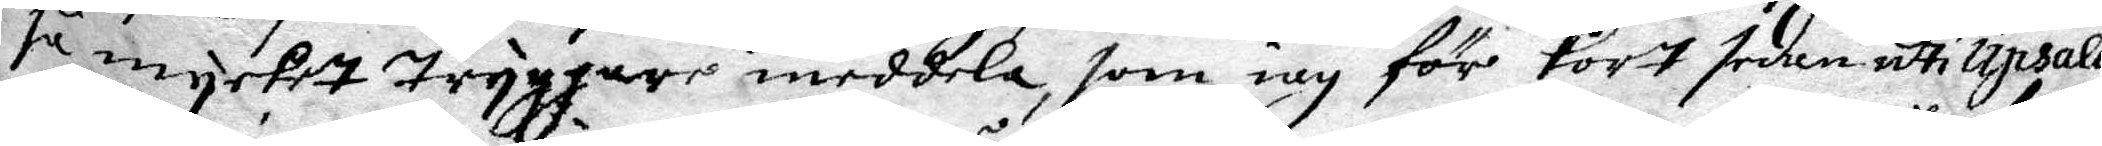så mycket Tryggare meddela, som iag för kort sedan uti Upsala
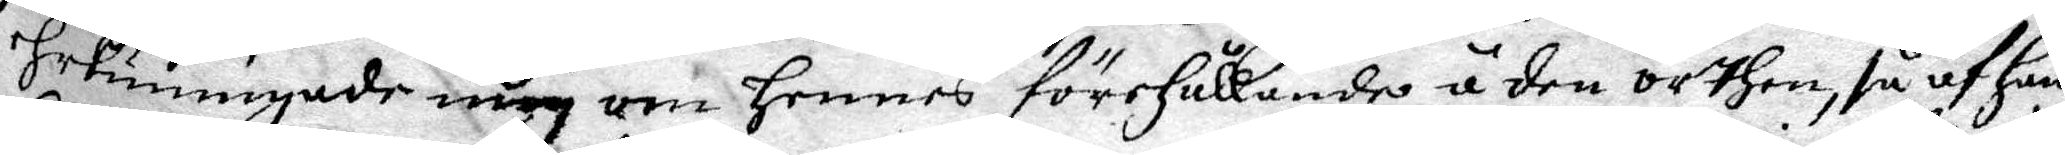Hekunnigasde mig om Hennes förHållande å den orthen, så af hans
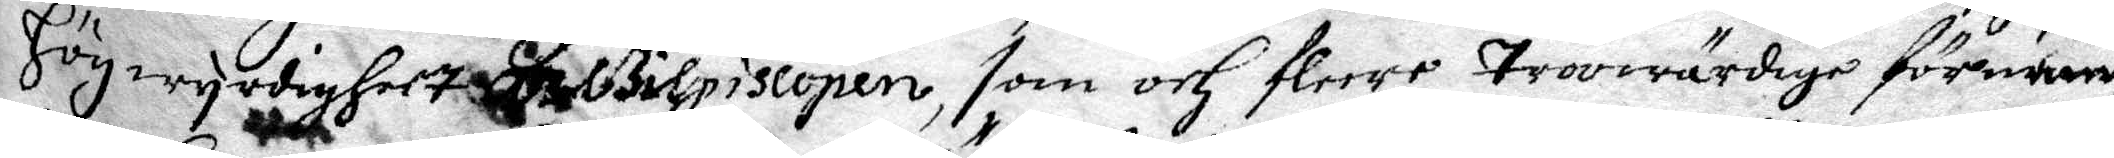Hög wyrdigheet archbilpiscopen, som och fleere Trowärdige förnumme
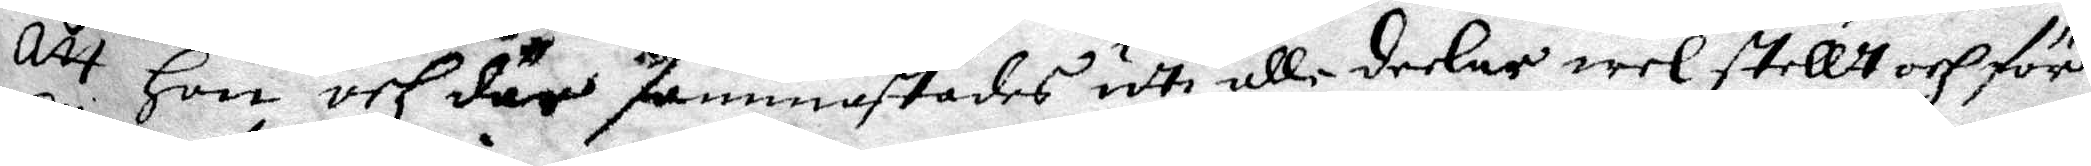att Hon och där sammastädes udti alle deelar welstellt och för¬
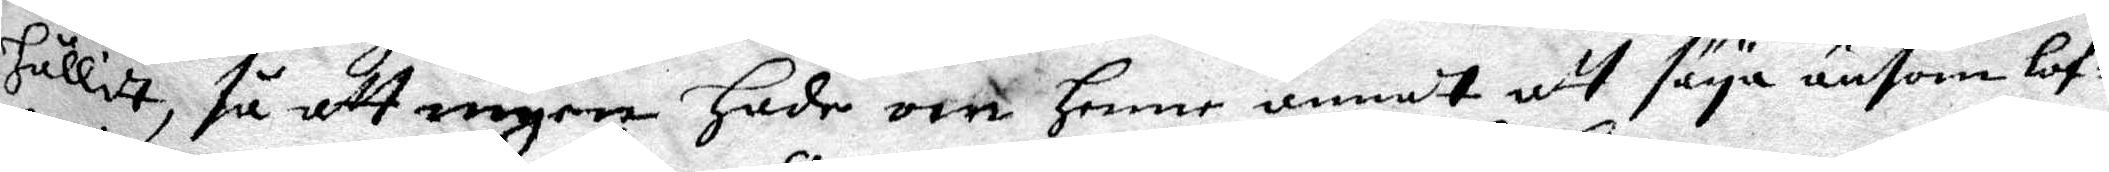hållit, så att ingen Hade om Henne annat att säya ansom lof¬
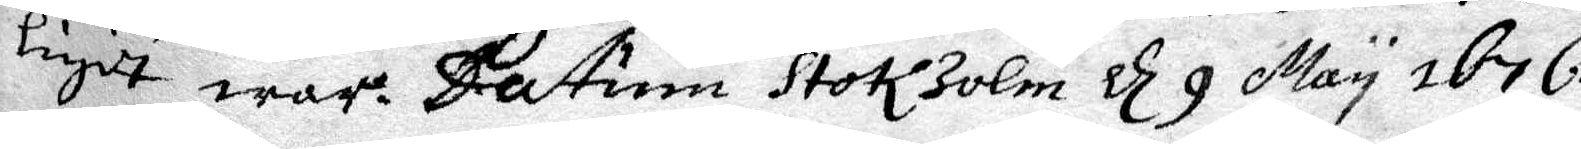ligit war. datum Stokholm d 9 May 1676.
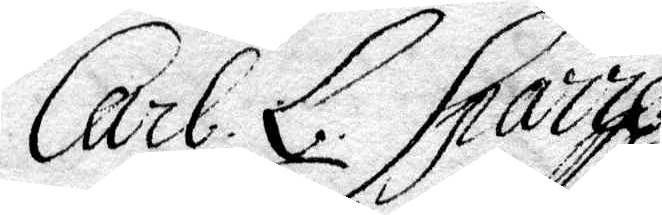Carl. L. Sparre
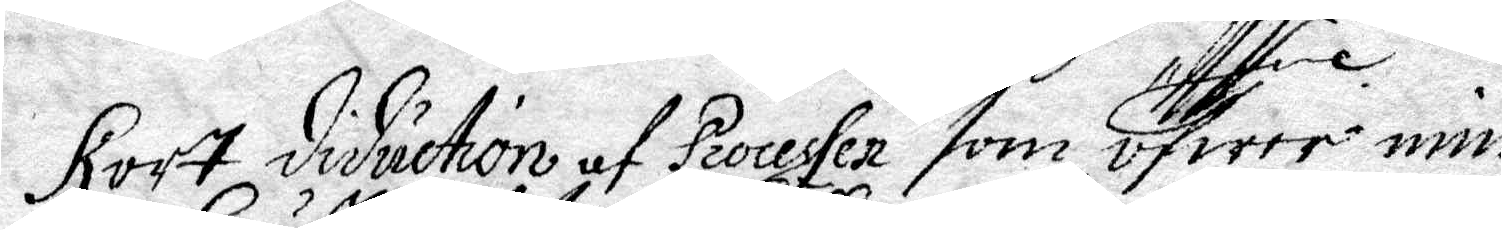Kort diduction af Processen som öfwer min
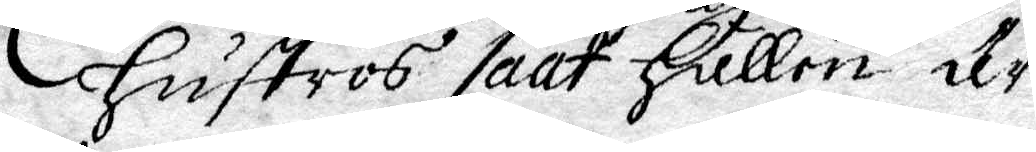Hustros saak Hållen ät.
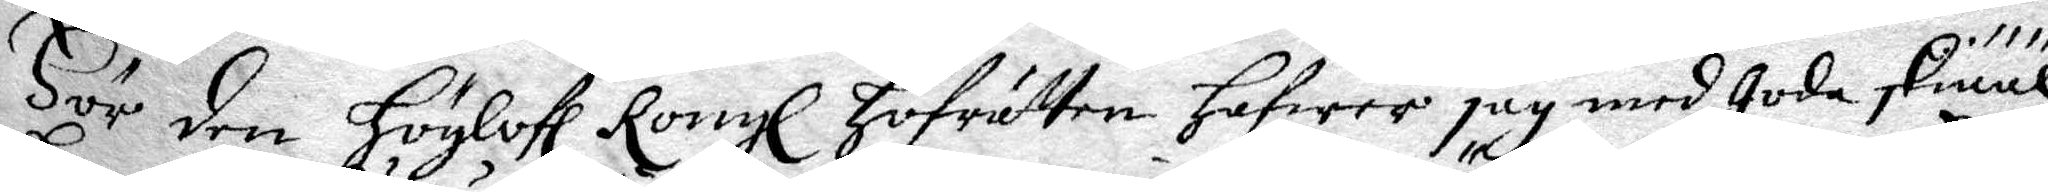För den Höglofl Kongl Hofrätten Hafwer jag med Goda skiääl
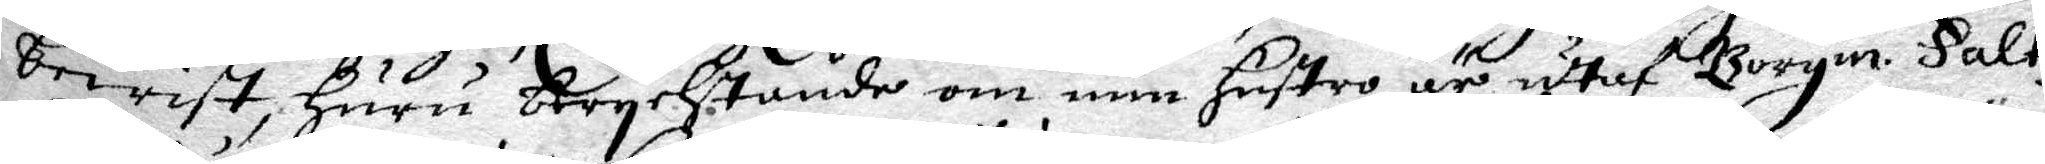bewist, Huru berychtande om min Hustro är utaf Borgm. Falkz
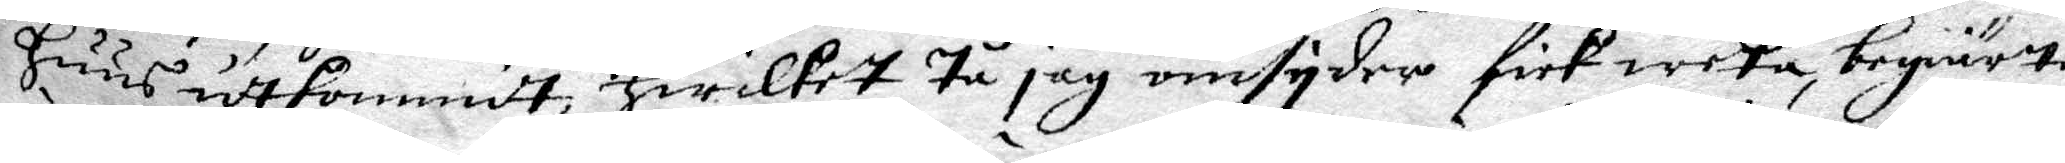Huus utkommit, Hwilket Tå jag omsyder fick weeta, begiärte
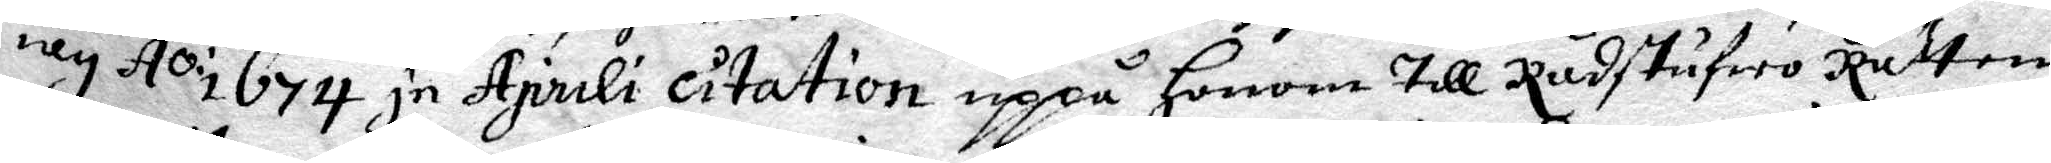iag Ao 1674 in Aprili citation uppå Honom Till Rådstufwo Rätten.
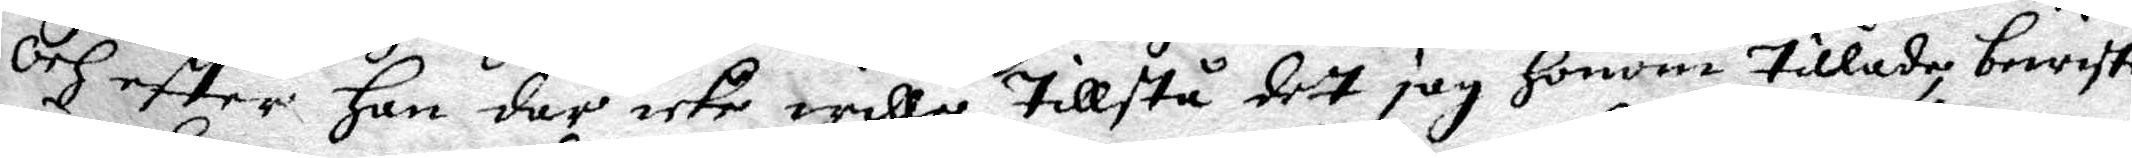Och efter han där icke wille Tillstå det jag Honom Tillade bewiste
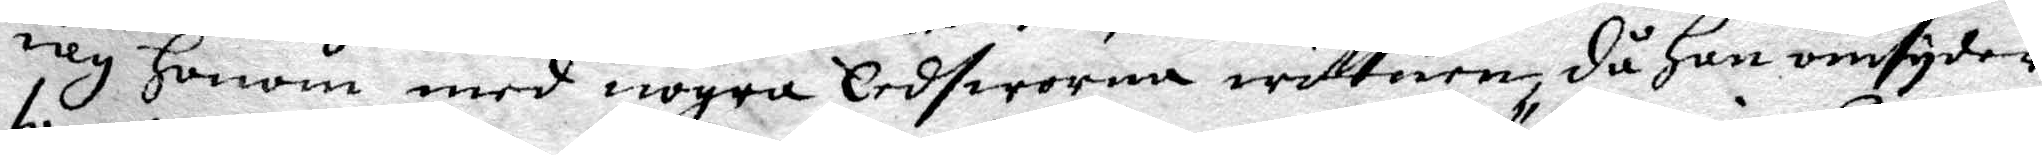iag Honom med nogra Eedswurna wittnen, då Han omsyder
